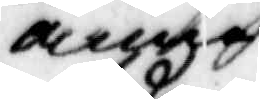anna
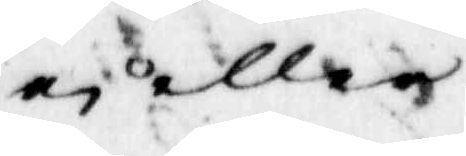ei eller
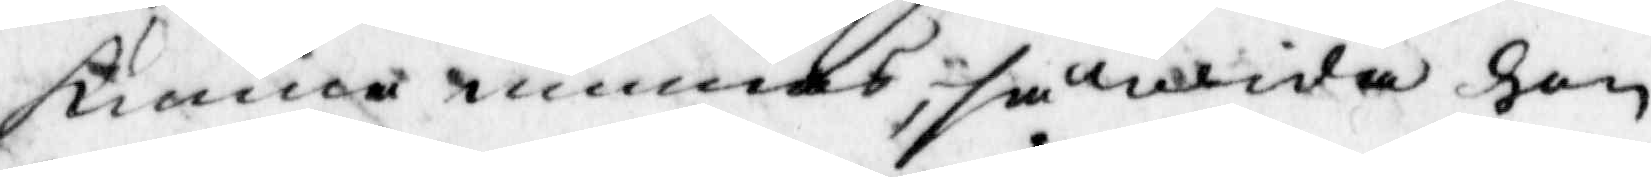kunna minnas, så wida hon
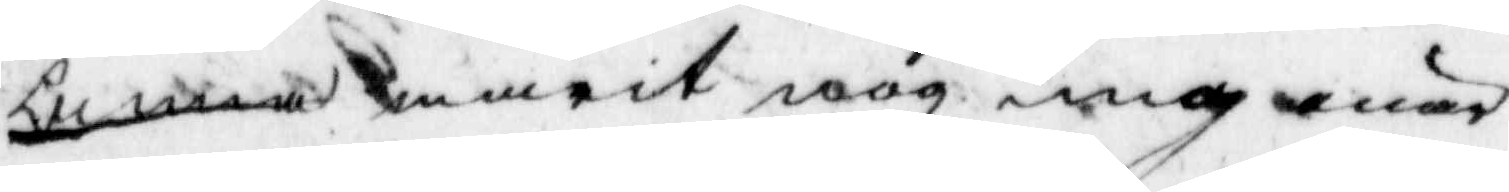Anna warit nog ung når
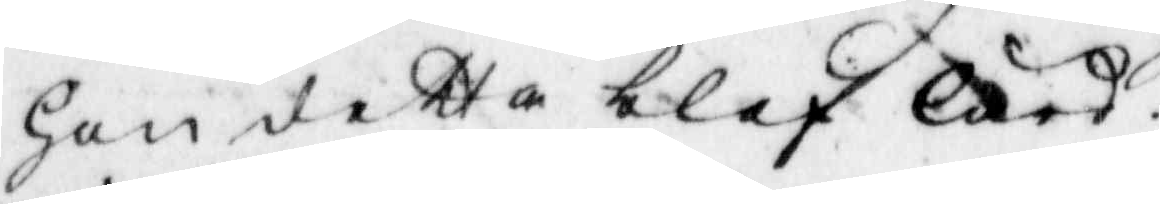hon detta blef lärd.
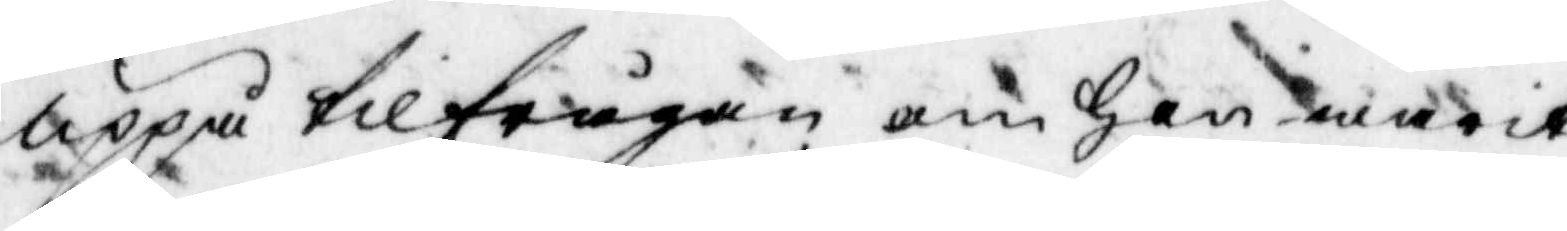uppå tillfrågan om hon warit
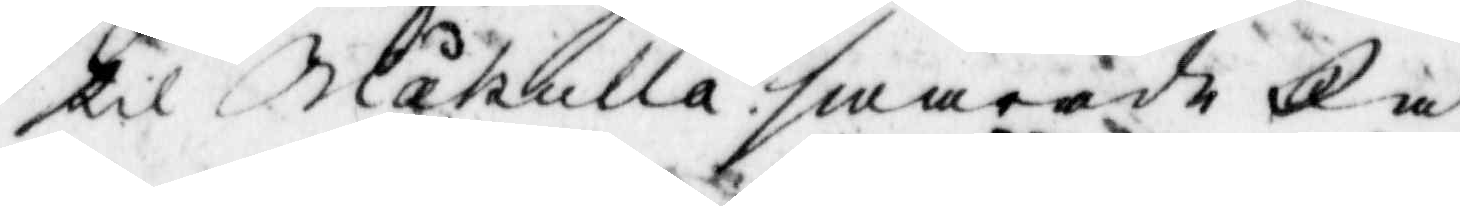til Blåkulla? swarade Ja
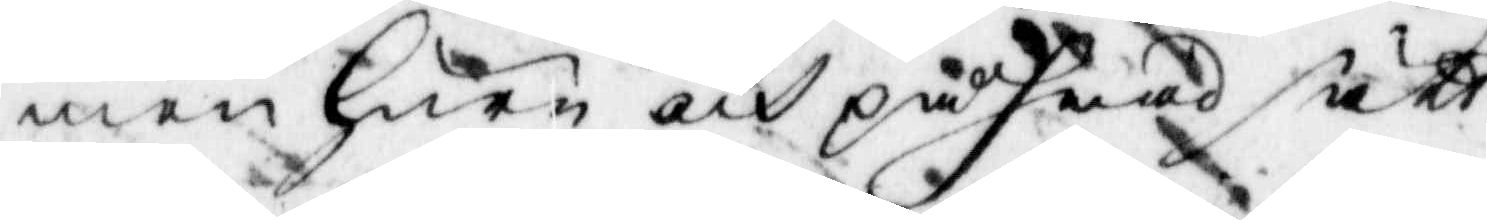men huru och på hwad sätt
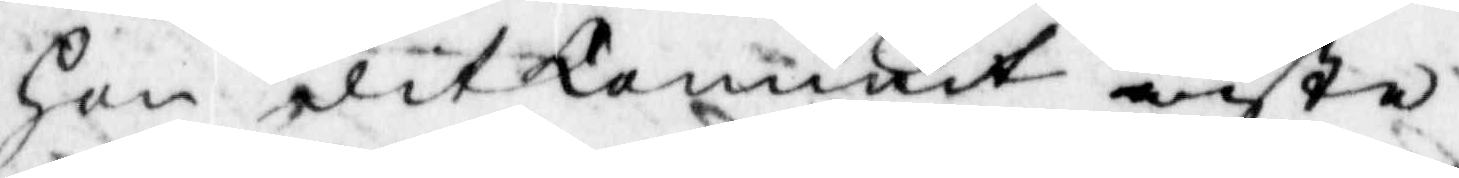hon dit kommit wiste
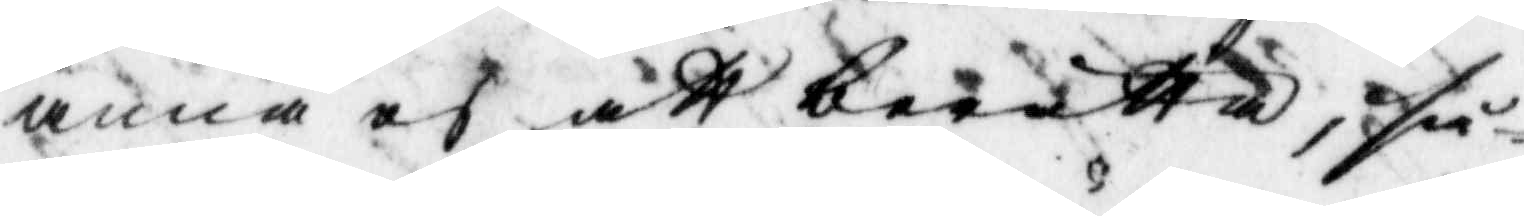anna ei att berätta, så¬
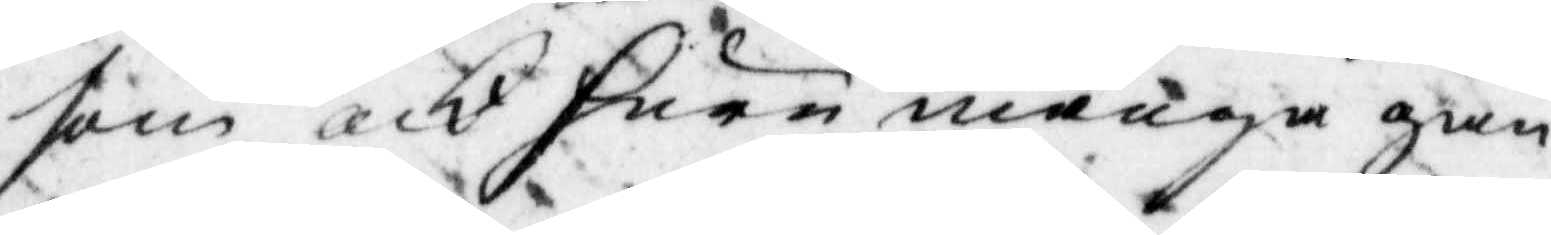som och huru många gån¬
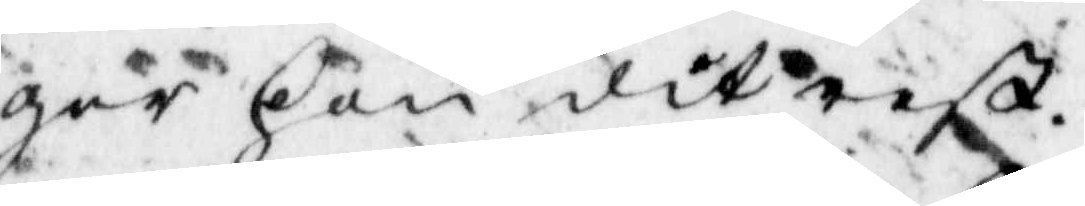ger hon dit rest.
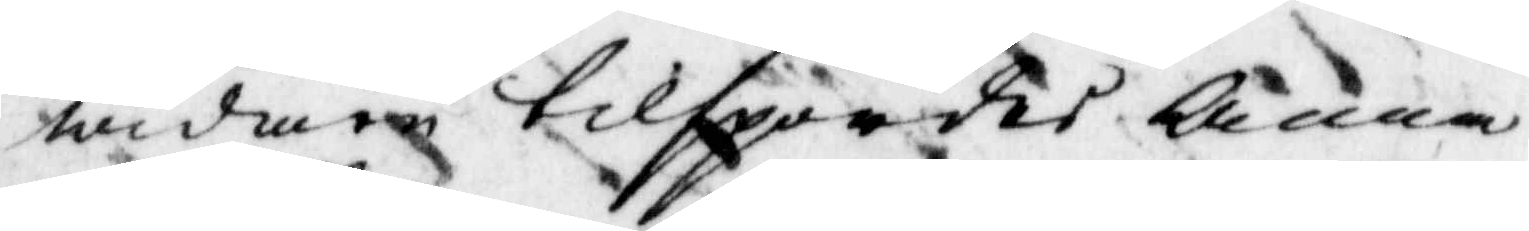widare tilsportes anna
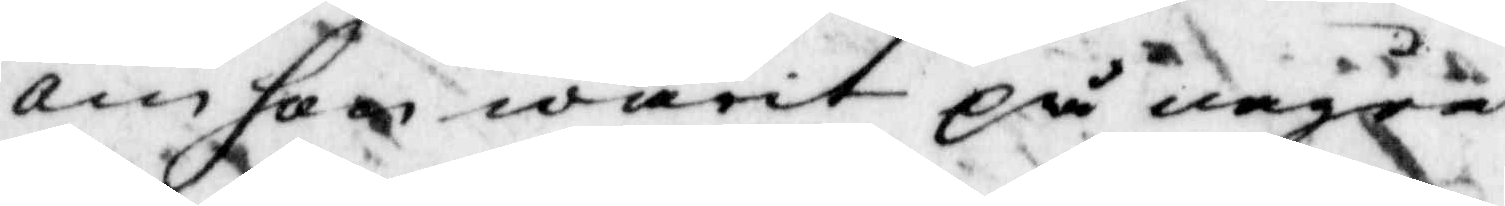om hon warit på några
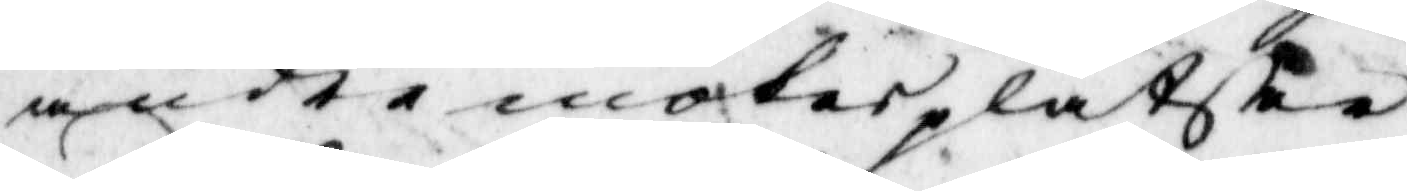andra mötesplatser
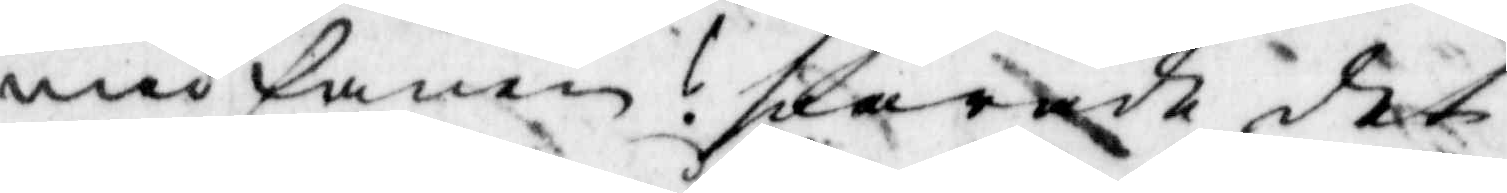med fanen? swarade det
